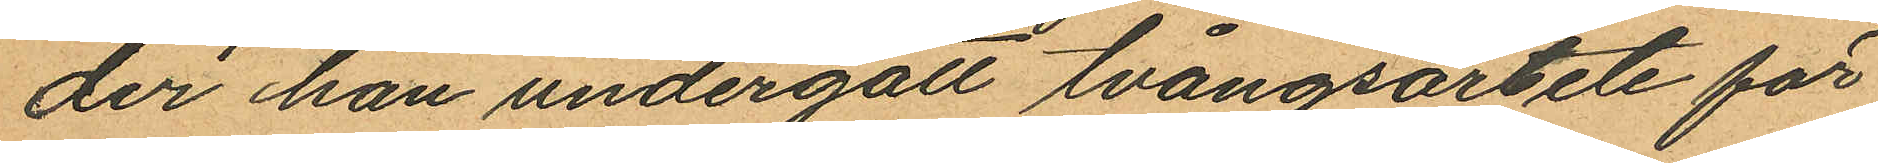der han undergått tvångsarbete för
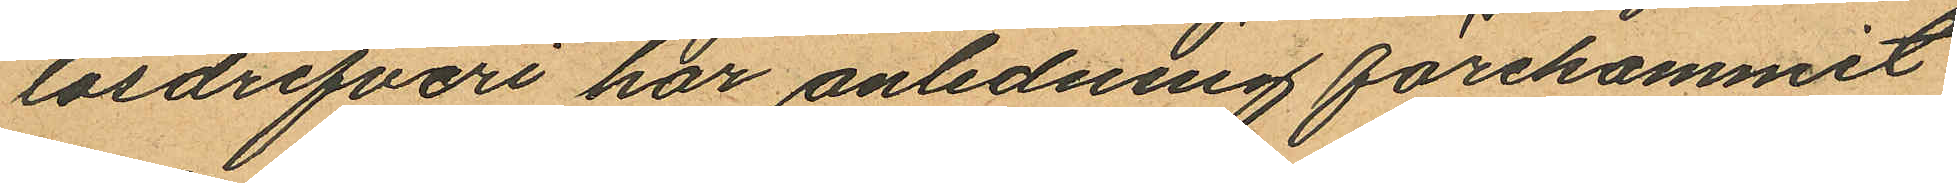lösdrifveri har anledning förekommit
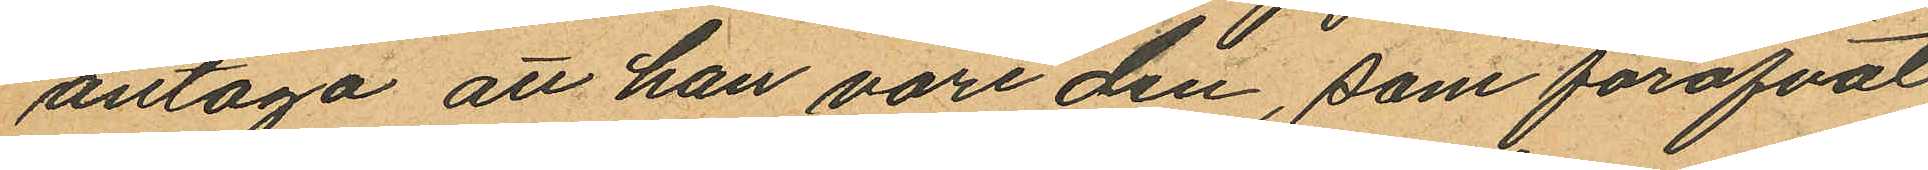antaga att han vore den, som föröfvat
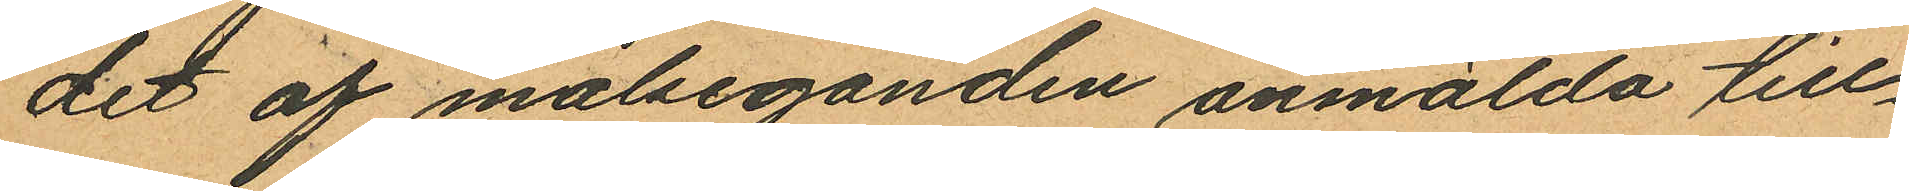det af målseganden anmälda till¬
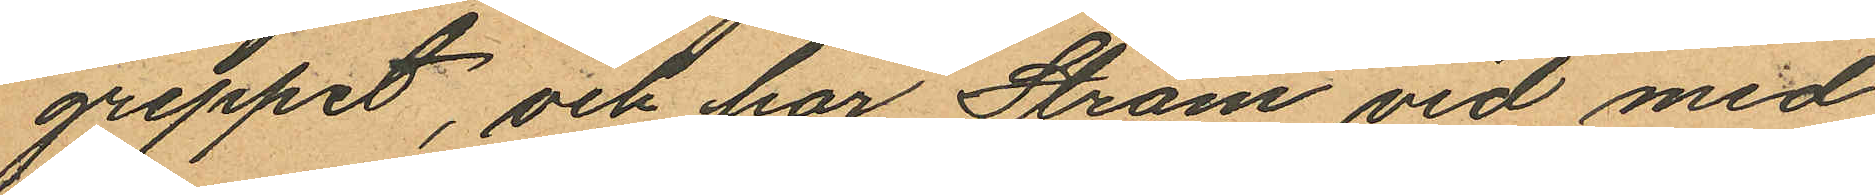greppet, och har Ström vid med
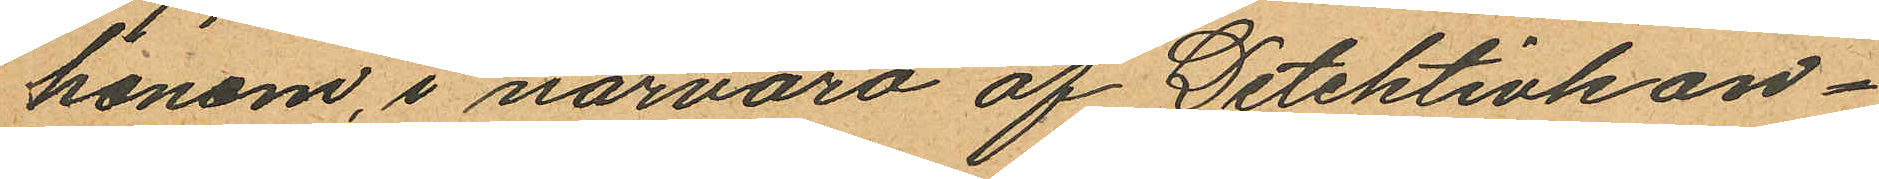honom, i närvaro af Detektivkon¬
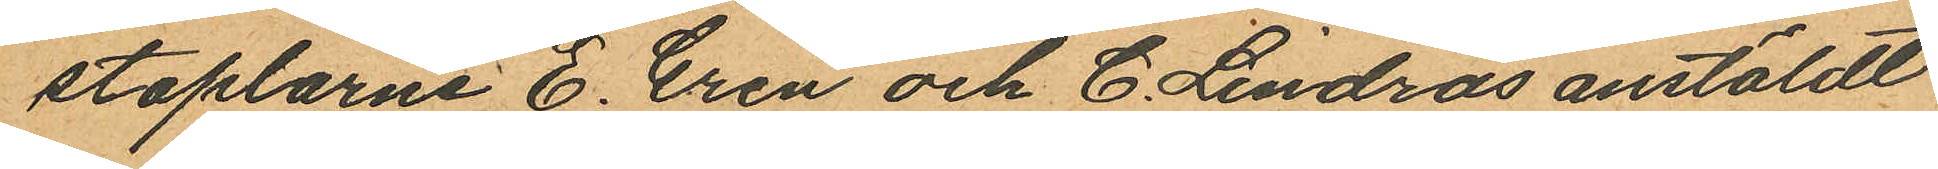staplarne E. EGren och C. Lindros anstäldt
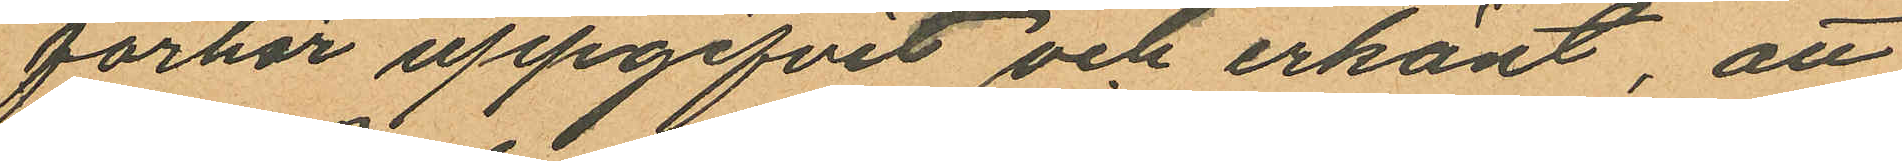förhör uppgifvit och erkänt, att
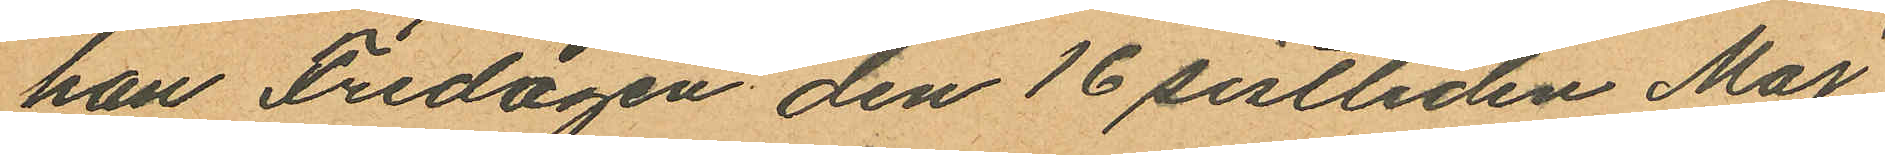han Fredagen den 16 sistliden Maj
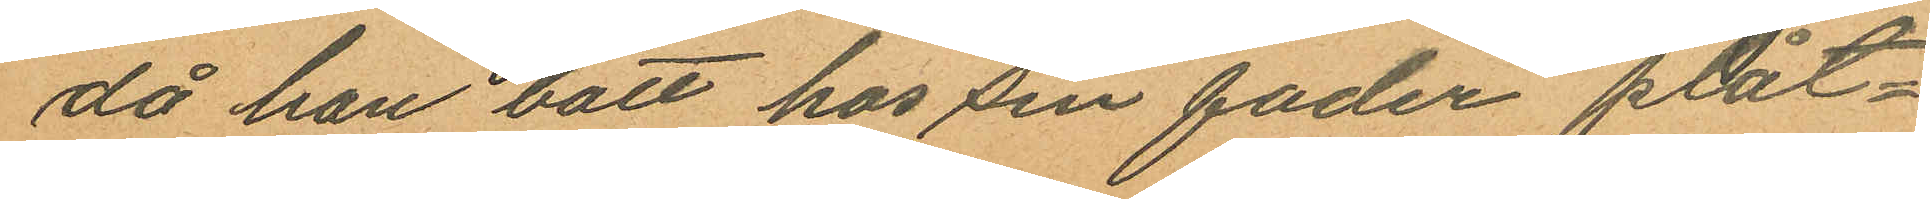då han bott hos sin fader plåt¬
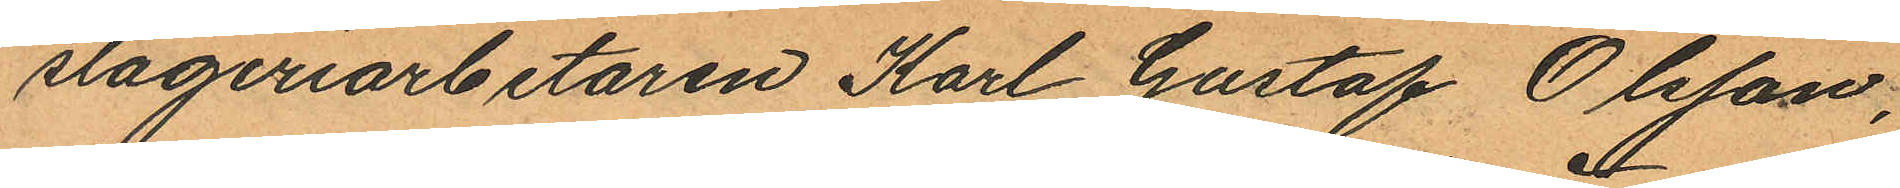slageriarbetaren Karl Gustaf Olsson,
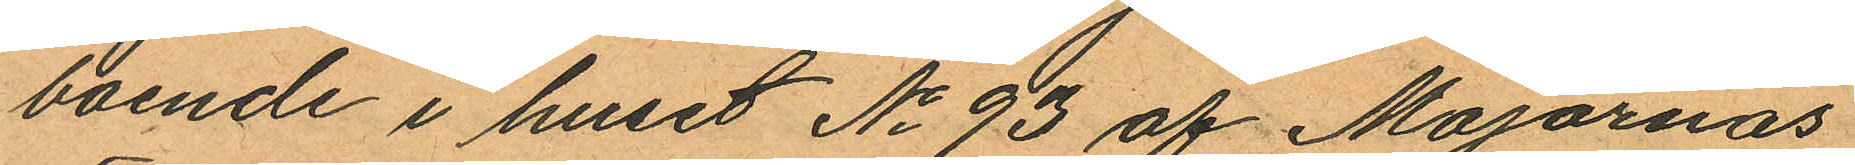boende i huset No 93 af Majornas
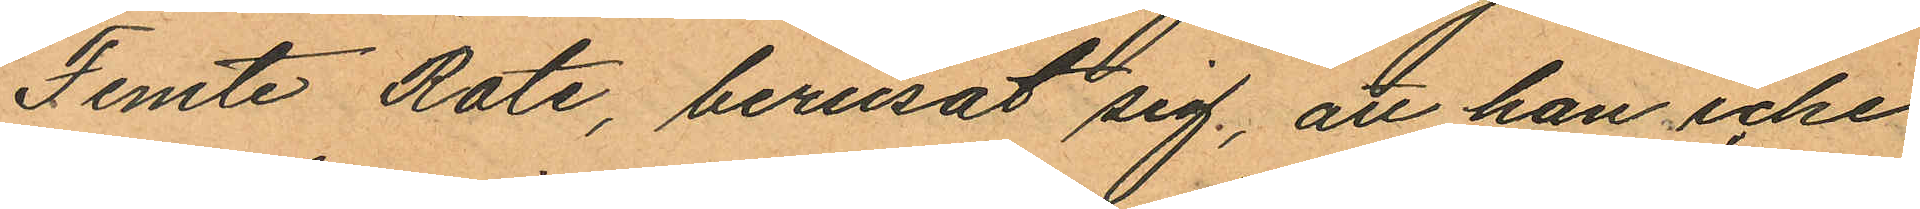Femte Rote, berusat sig; att han icke
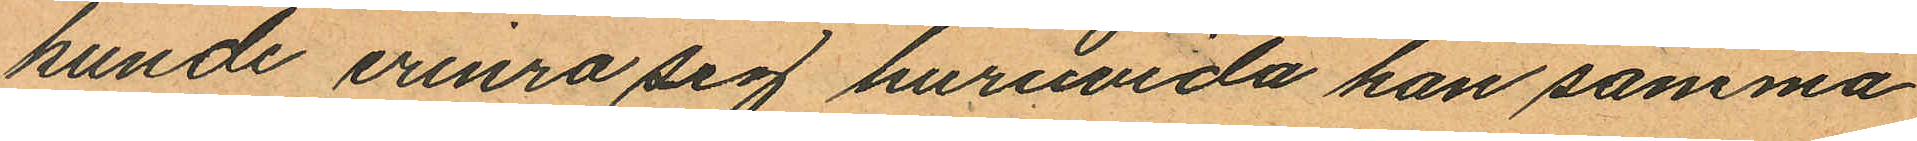kunde erinra sig huruvida han samma
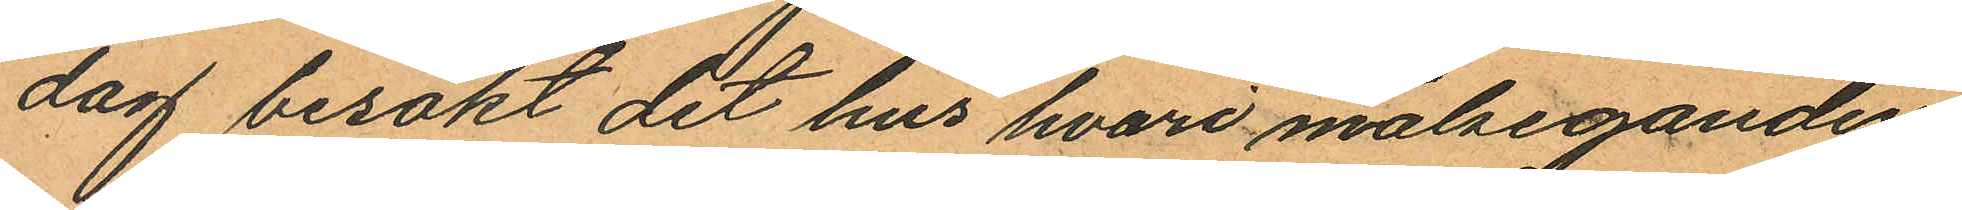dag besökt det hus hvari målseganden
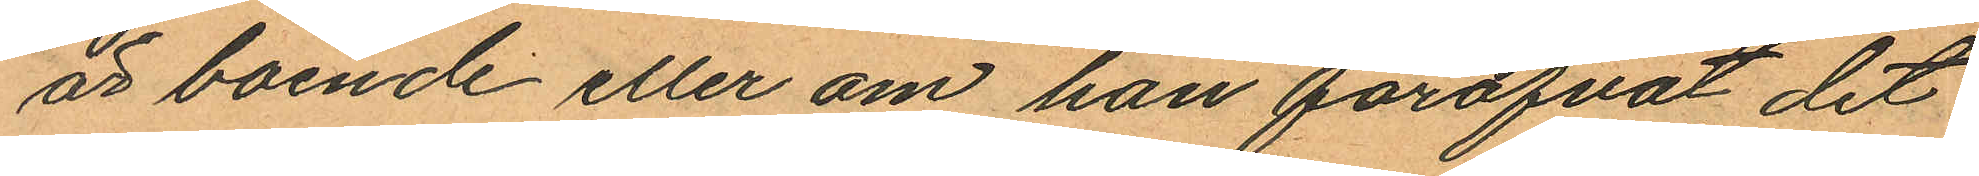är boende eller om han föröfvat det
